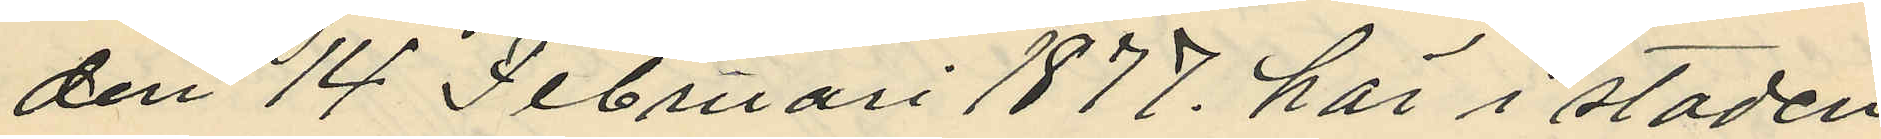den 14 Februari 1877, här i staden
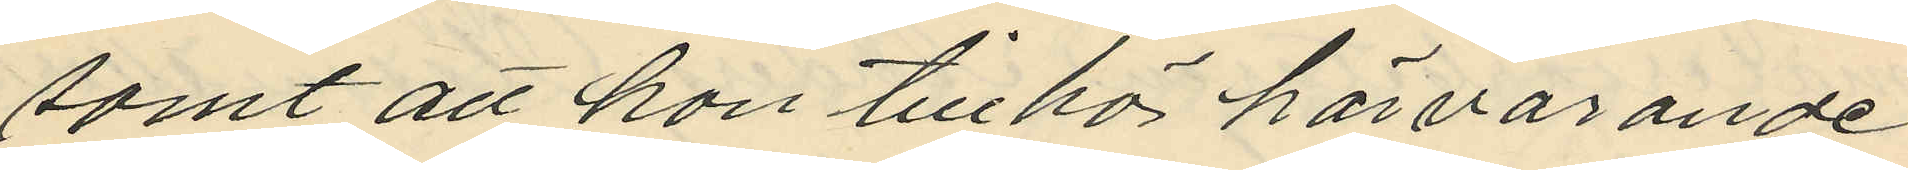samt att hon tillhör härvarande
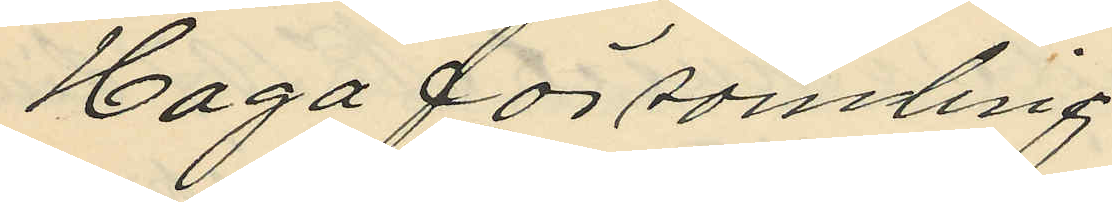Haga församling
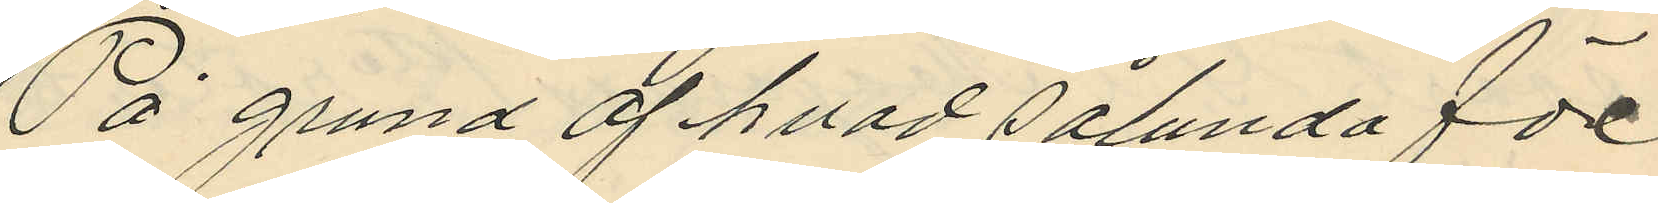På grund af hvad sålunda före
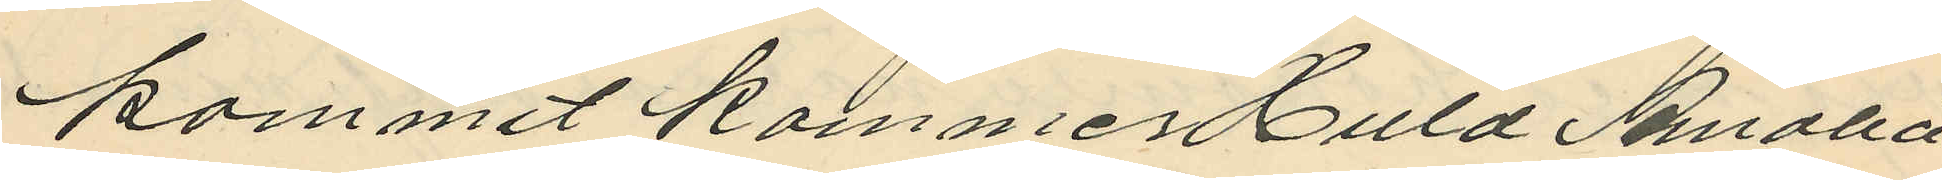kommit kommer Huld Amalia
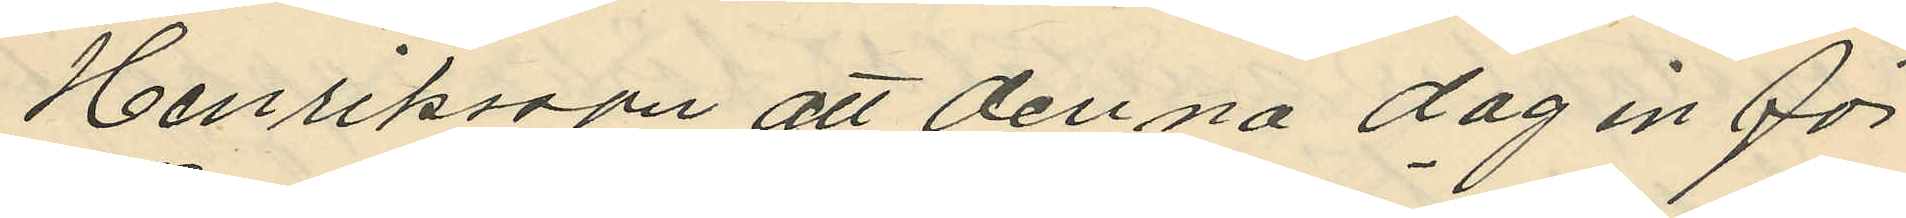Henriksson att denna dag inför
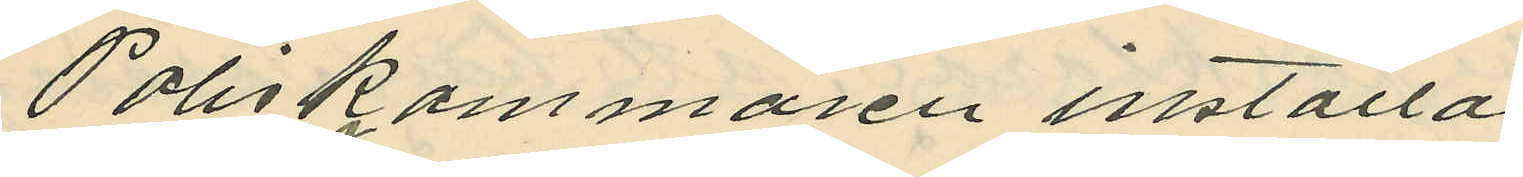Poliskammaren inställas
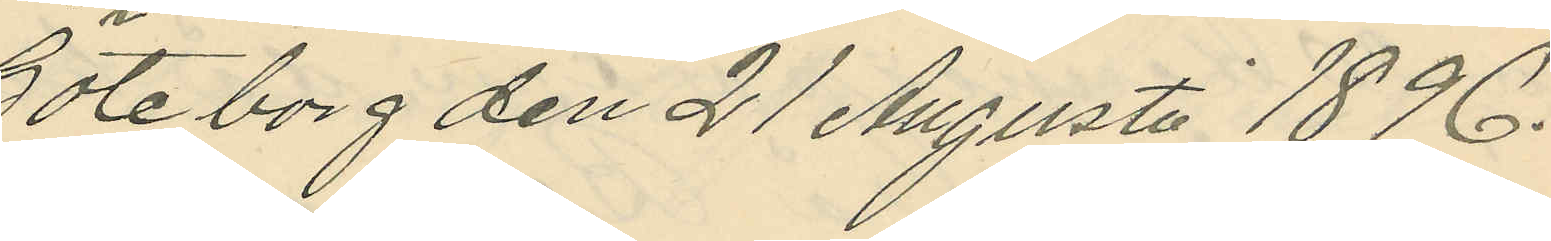Göteborg den 21 Augusti 1896.
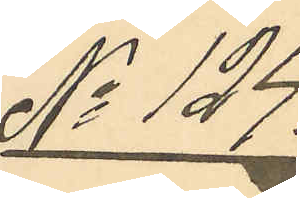No 124.
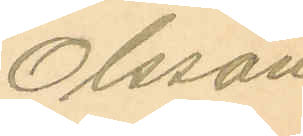Olsson
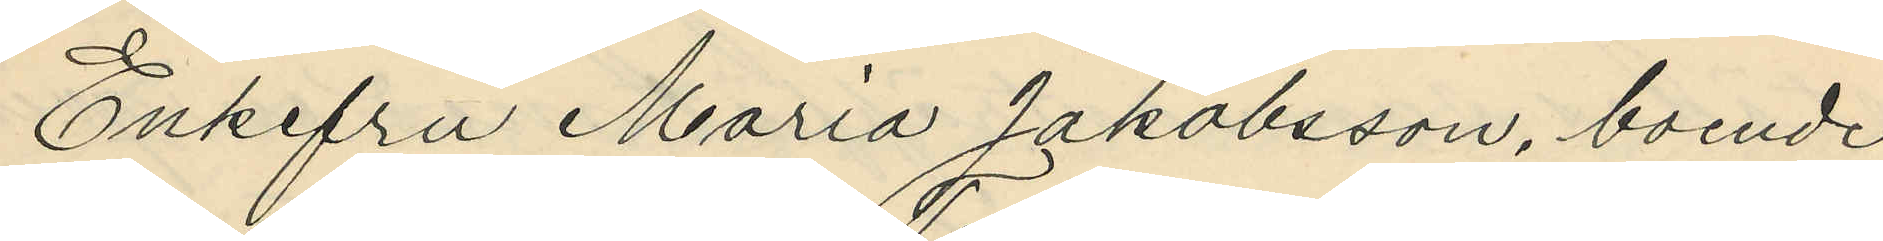Enkefru Maria Jakobsson, boende
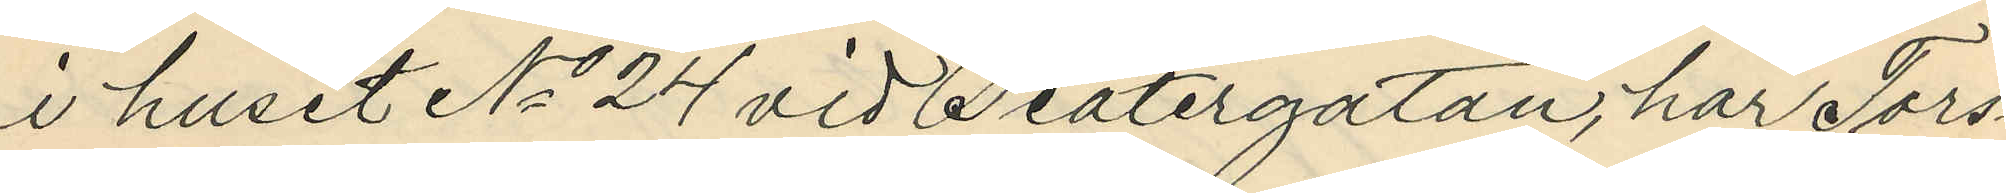i huset No 24 vid Teatergatan, har Tors¬
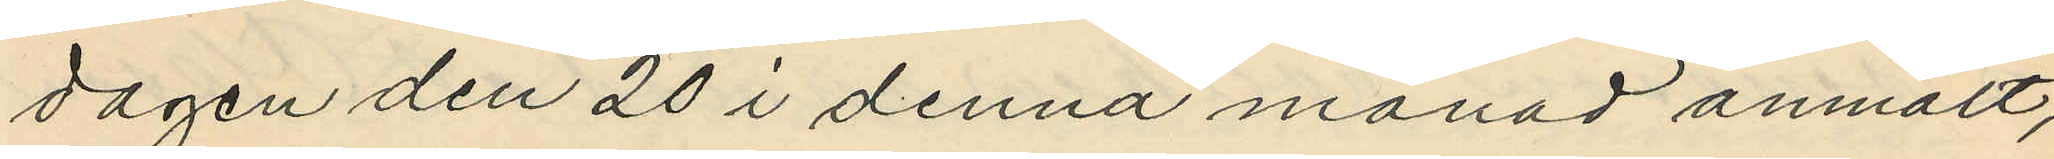dagen den 20 i denna månad anmält,
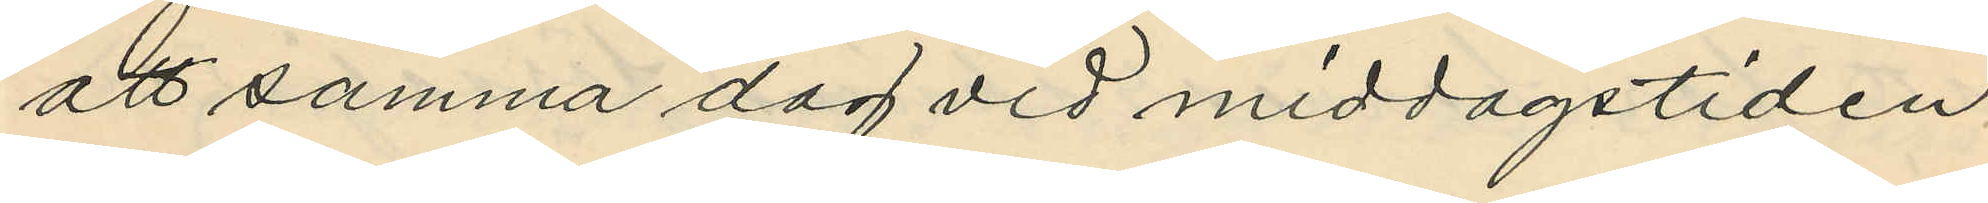att samma dag vid middagstiden
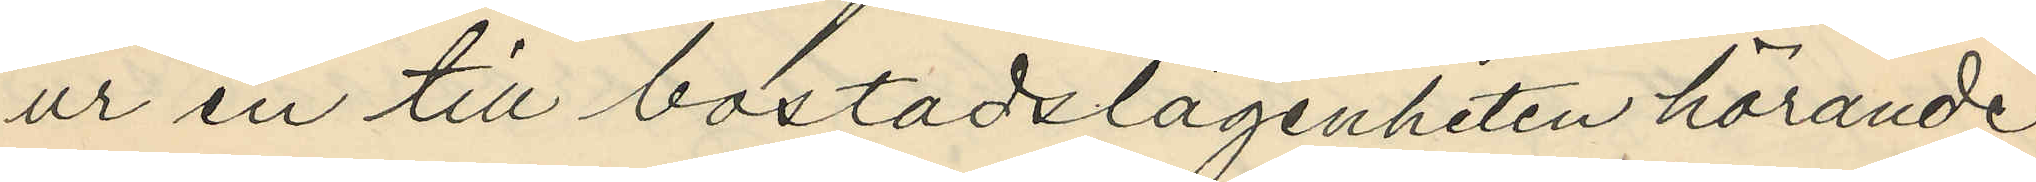ur en till bostadslägenheten hörande
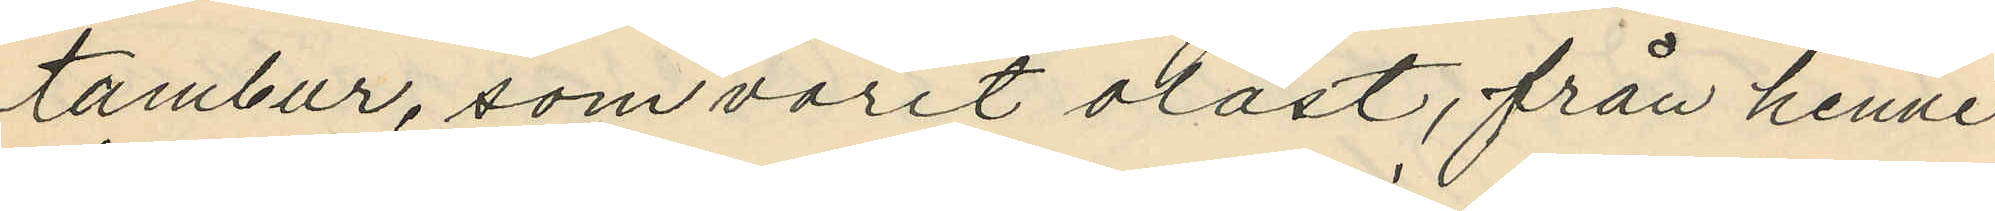tambur, som varit olåst, från henne
